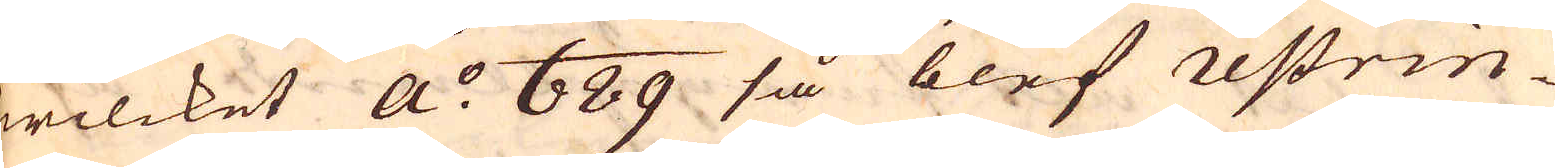wilcket a:o 689 så blef restrin-
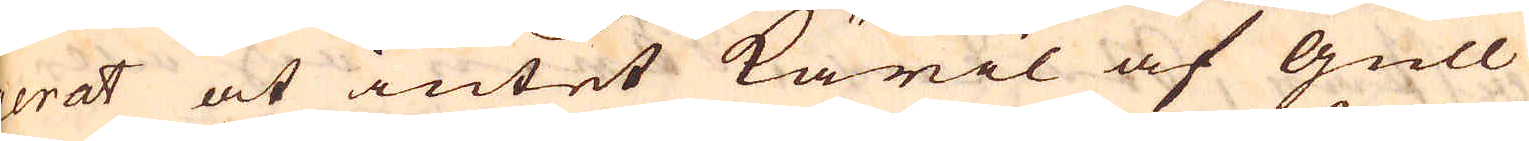gerat at intet käril af gull
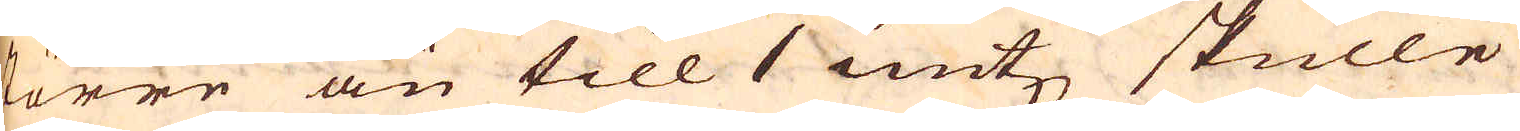större än till 1 untz skulle
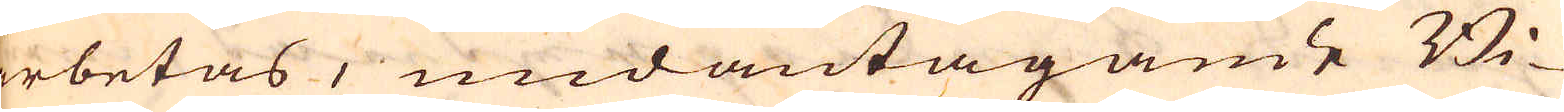arbetas, undantagande Bi-
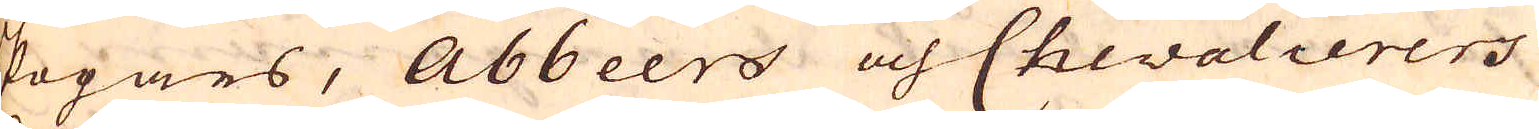skogars, Abbeers och Chevalierers
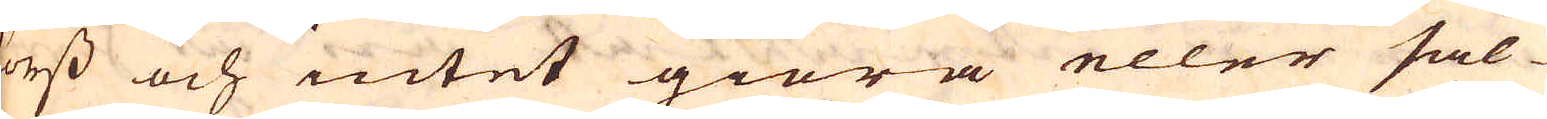korss och intet giöra eller säl-
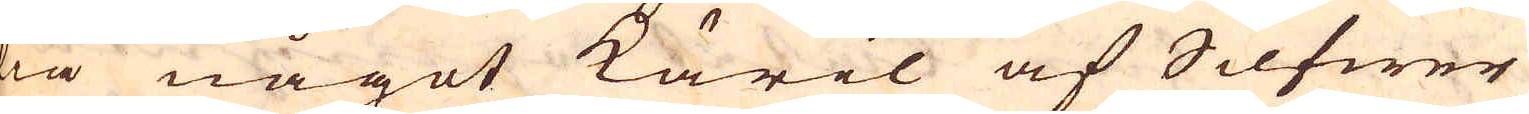lia något käril af Silfwer
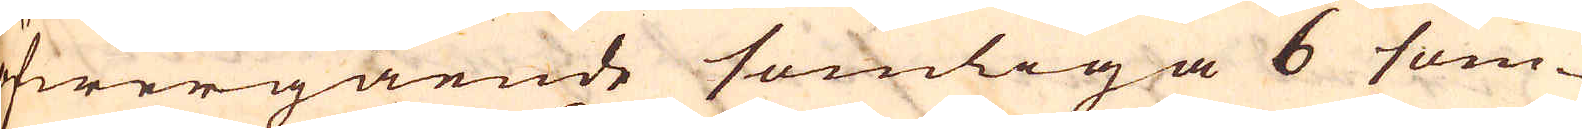öfwergående somliga 6 som-
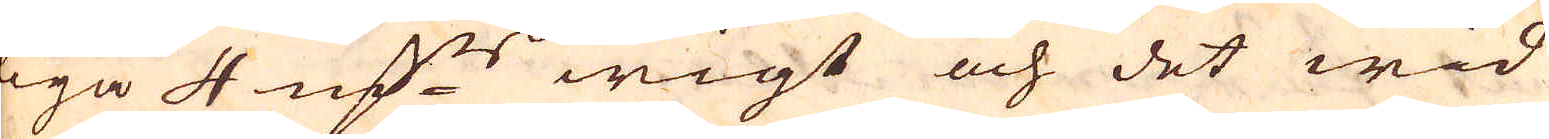iga 4 marker wigt och det wid
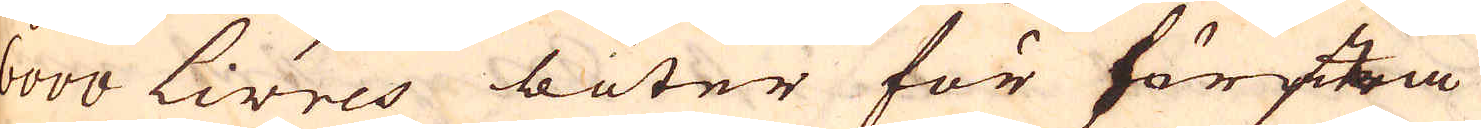6000 Livres böter för första
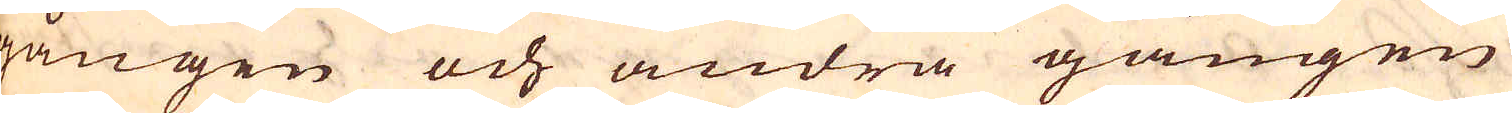gången och andra gången
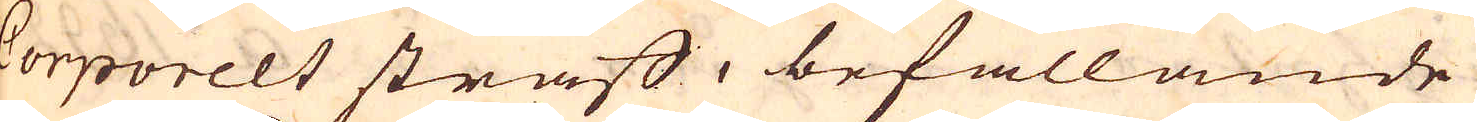Corporelt straff, befallande
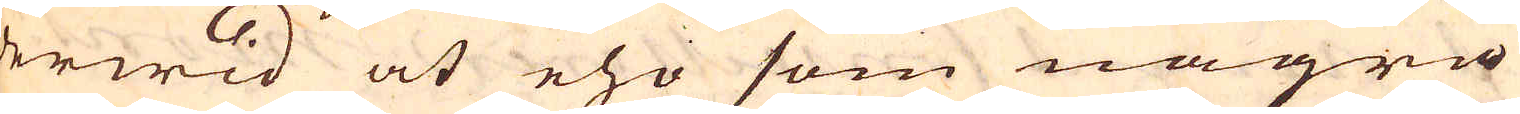derwid at eho som några
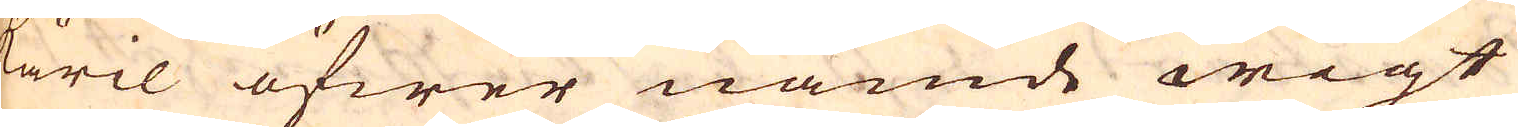käril öfwer nämde wigt
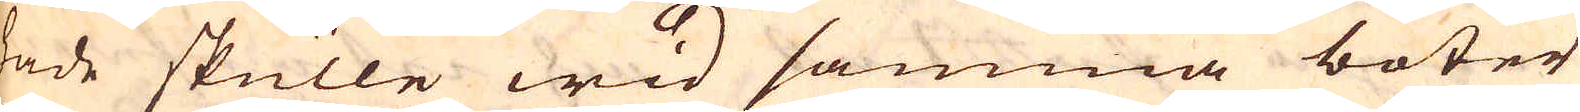hade skulle wid samma böter
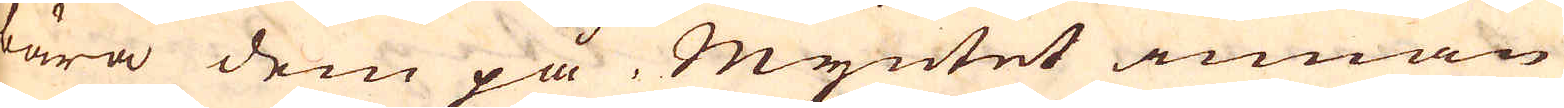bära dem på Myntet innan
